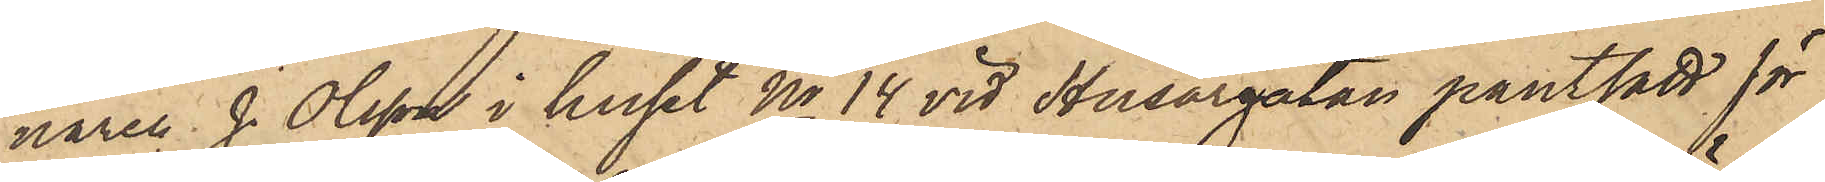naren J. Olsson i huset No 14 vid Husargatan pantsatt för
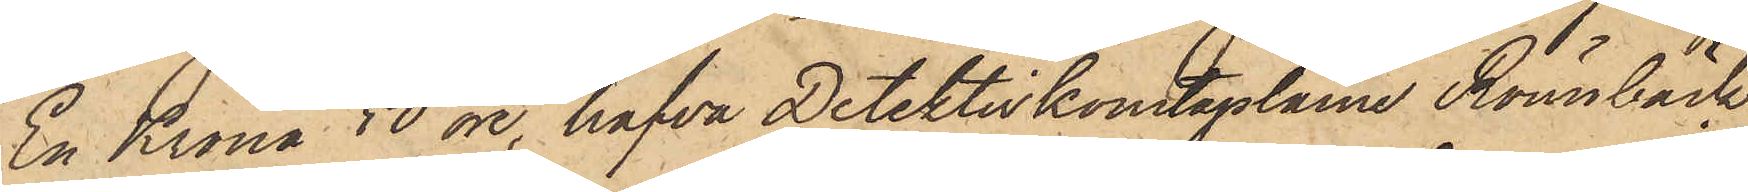En Krona 50 öre, hafva Detektivkonstaplarne Rönnbäck
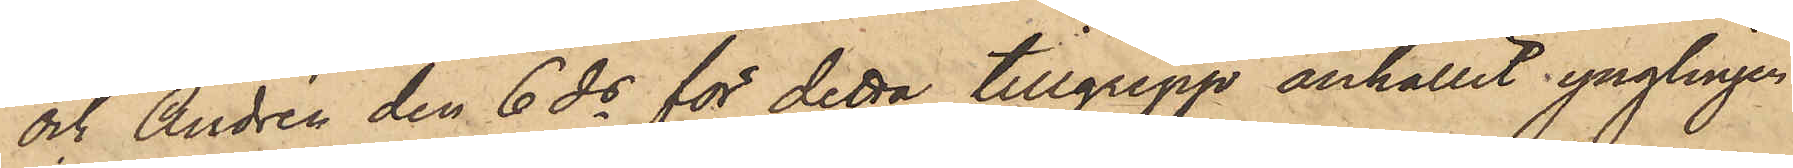och Andrén den 6 ds för detta tillgrepp anhållit ynglingen
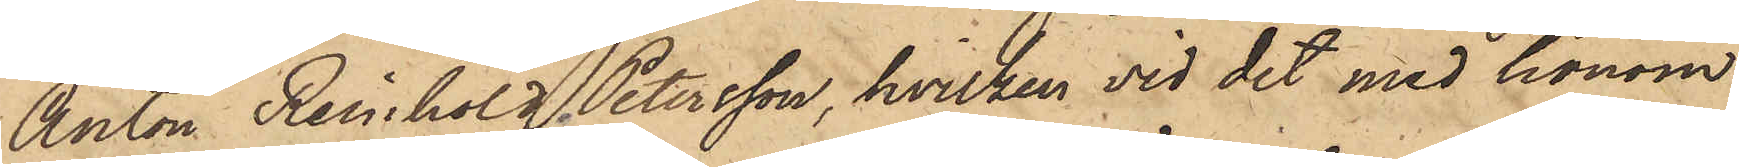Anton Reinhold Petersson, hvilken vid det med honom
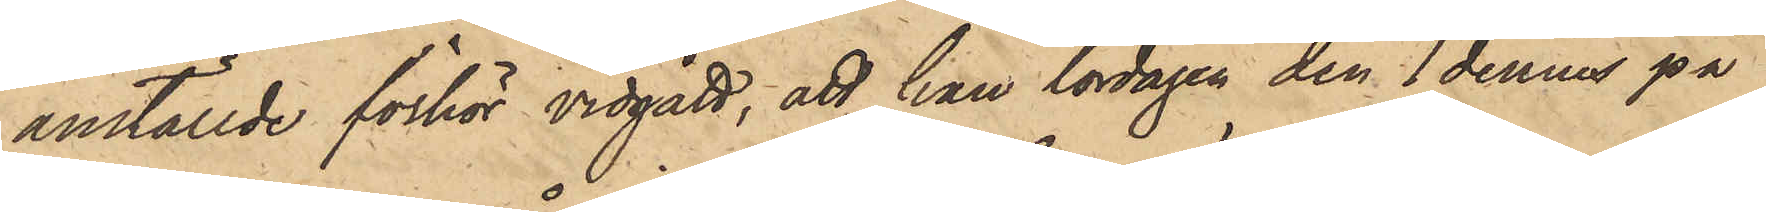anställde förhör vidgått, att han lördagen den 1 dennes på
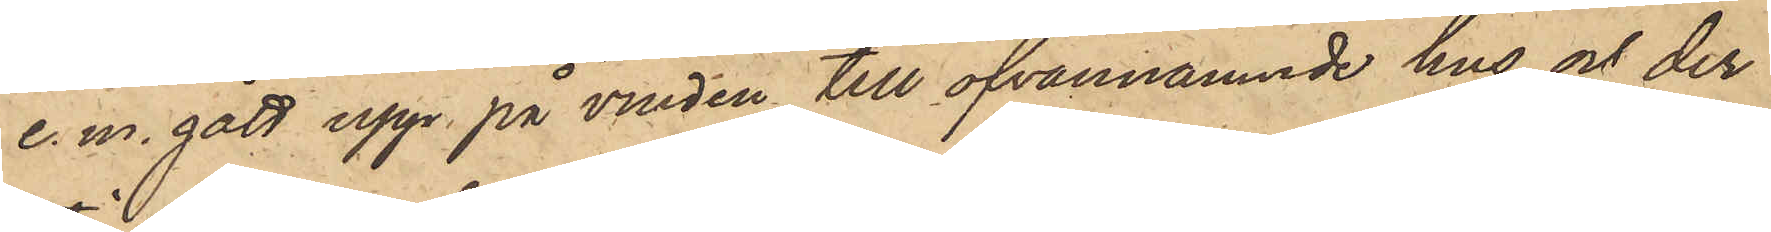e. m. gått upp på vinden till ofvannämnde hus och der
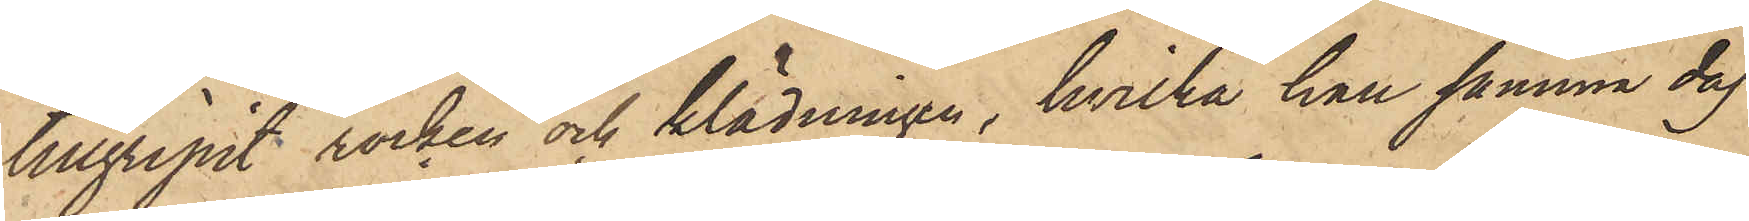tillgripit rocken och klädningen, hvilka han samma dag
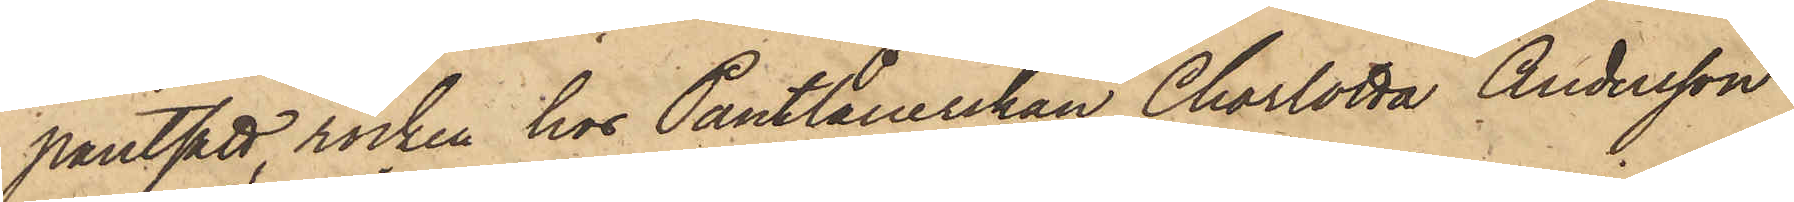pantsatt, rocken hos Pantlånerskan Charlotta Andersson
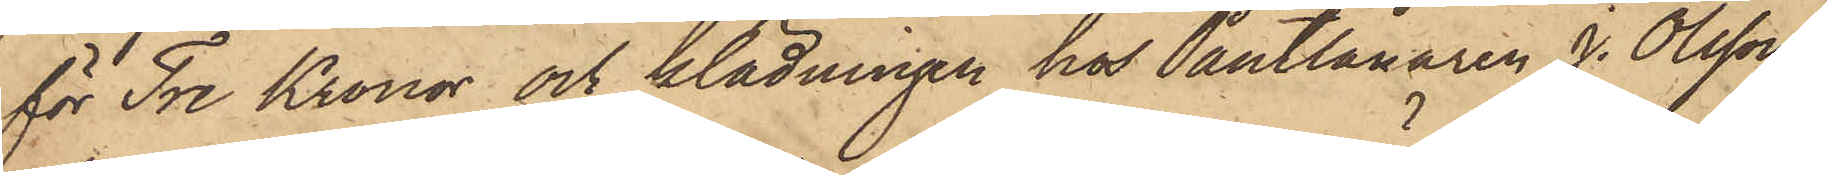för Tre Kronor och klädningen hos Pantlånaren J. Olsson
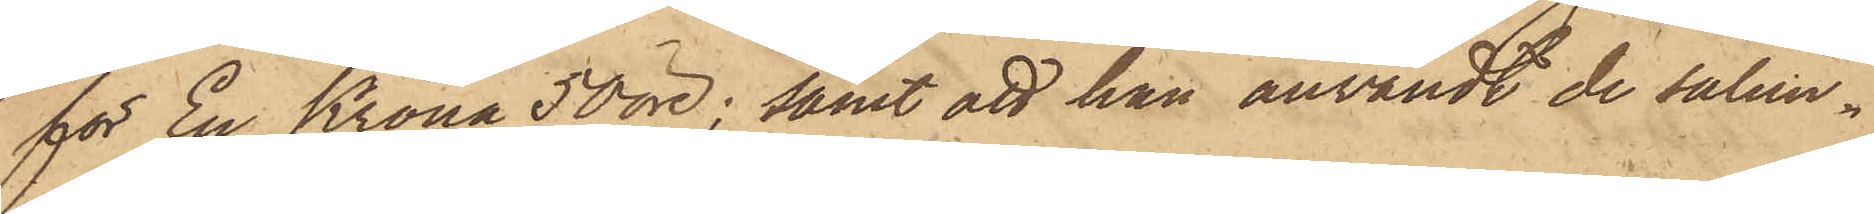för En Krona 50 öre; samt att han användt de sålun¬
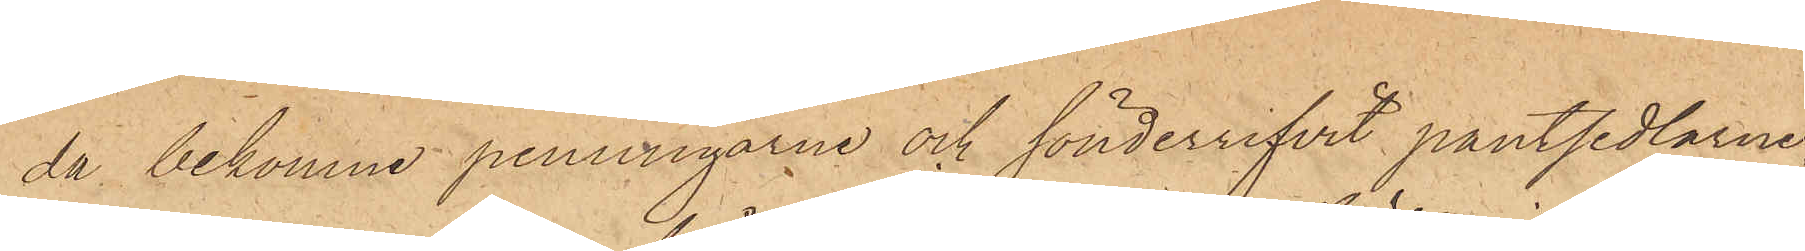da bekomne penningarne och sönderrifvit pantsedlarne.
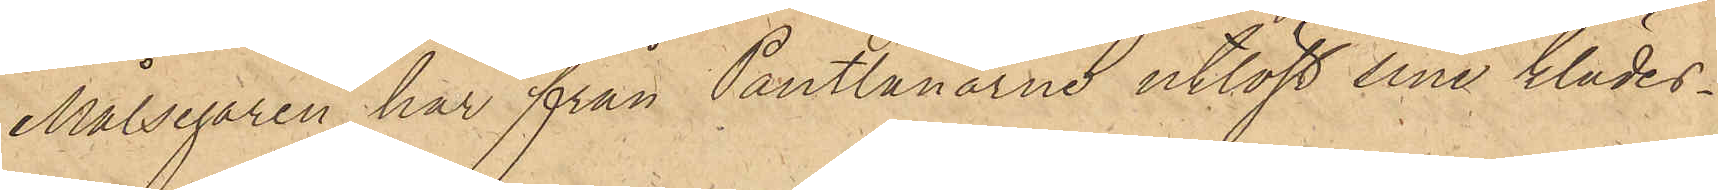Målsegaren har från Pantlånarne utlöst sina klädes¬
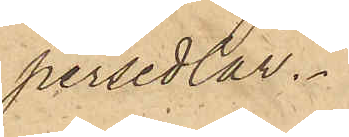persedlar.
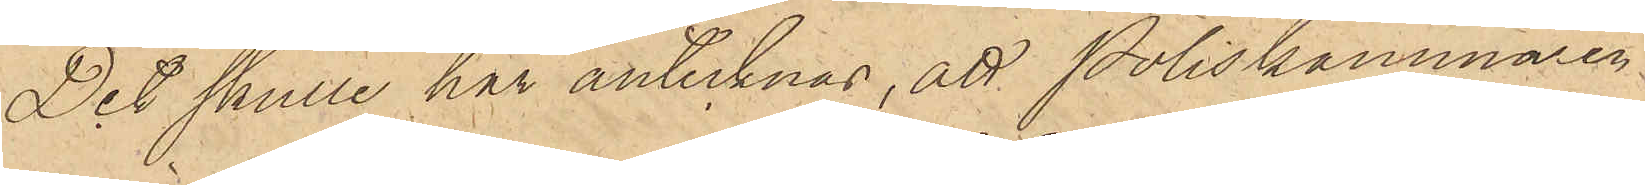Det skulle här antecknas, att Poliskammaren
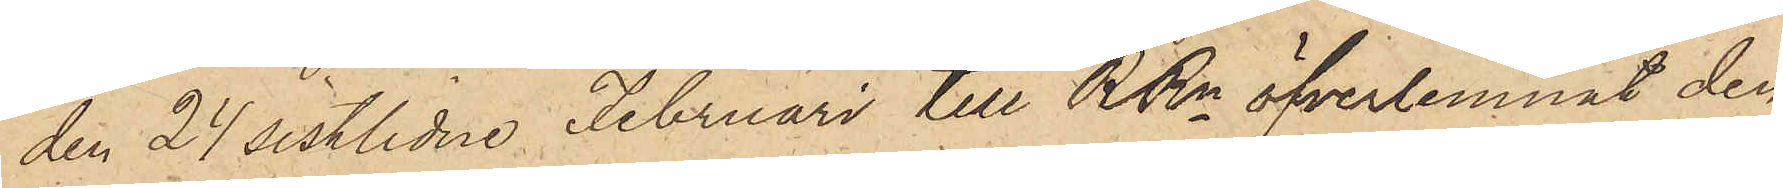den 24 sistlidne Februari till RRn öfverlemnat den
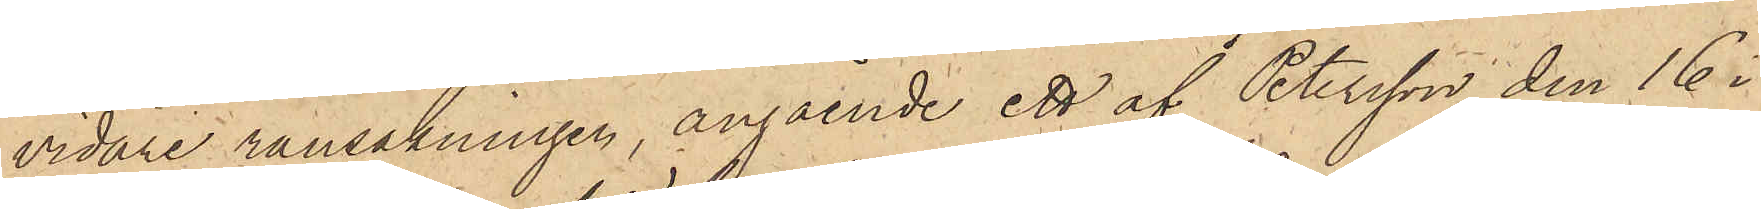vidare ransakningen, angående ett af Petersson den 16 i
